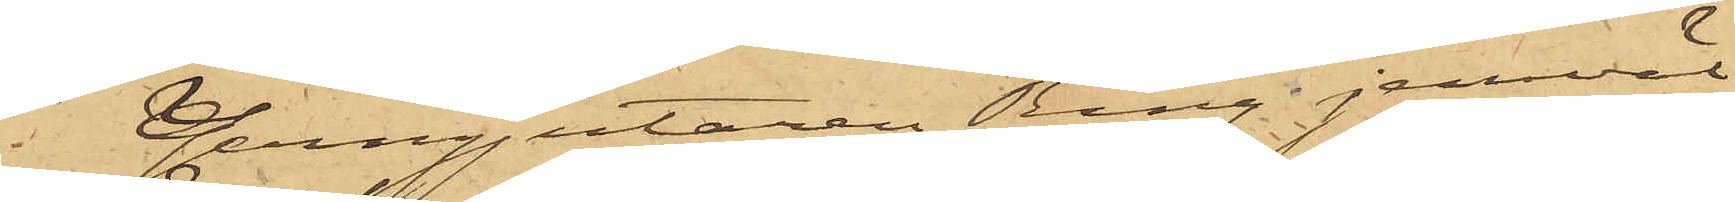Jerngjutaren Ring jemväl
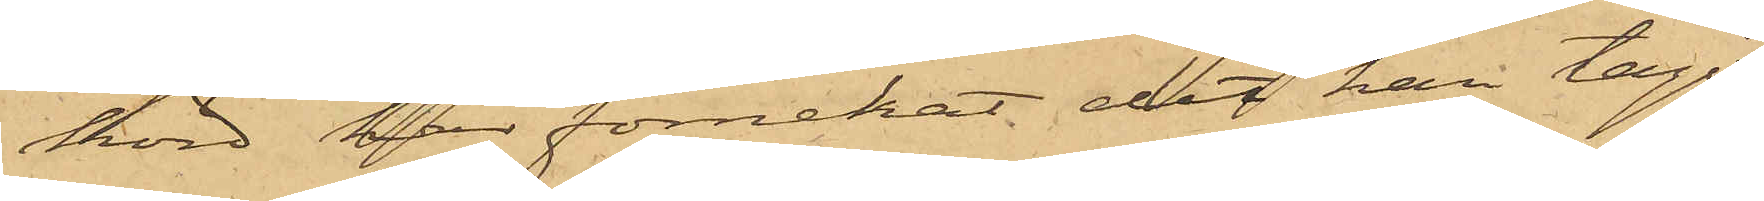hörd har förnekat det han tagit
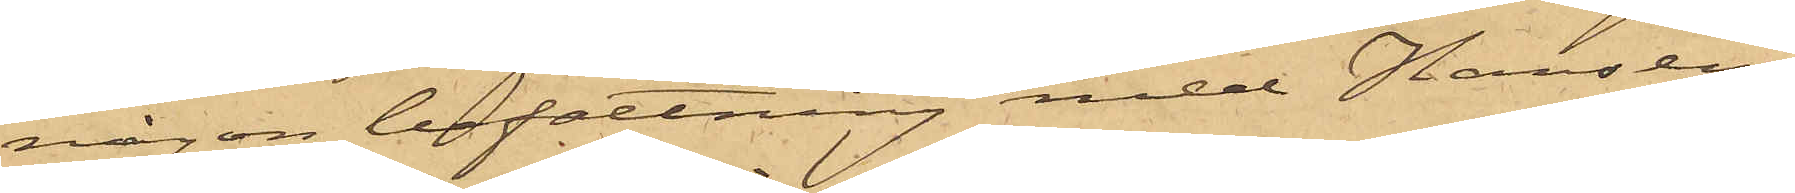någon befattning med Hansens
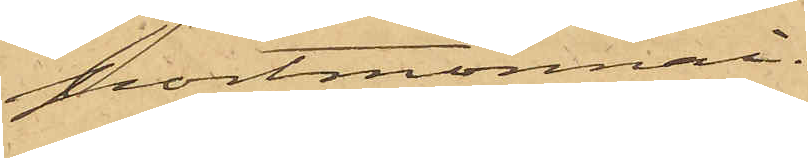portmonnai.
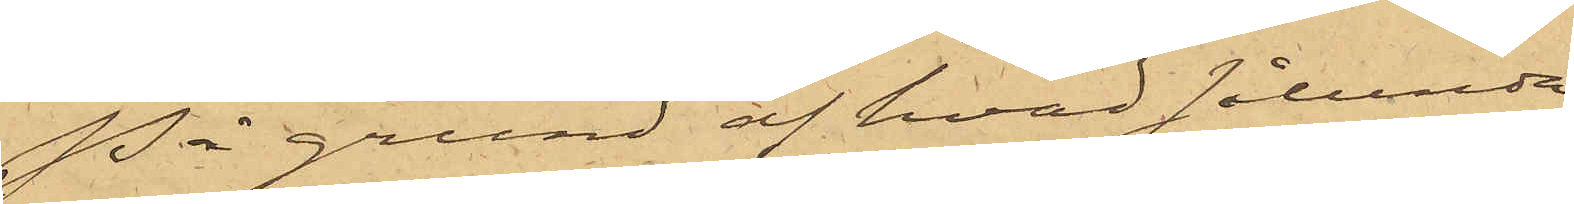På grund af hvad sålunda
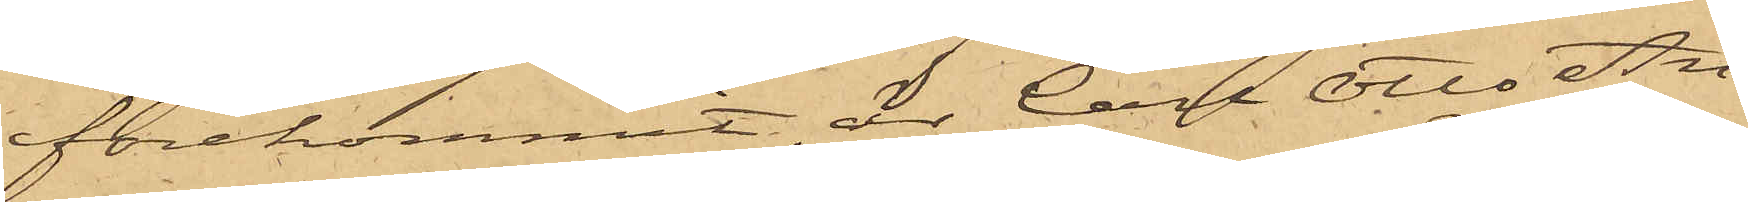förekommit, är Carl Otto An¬
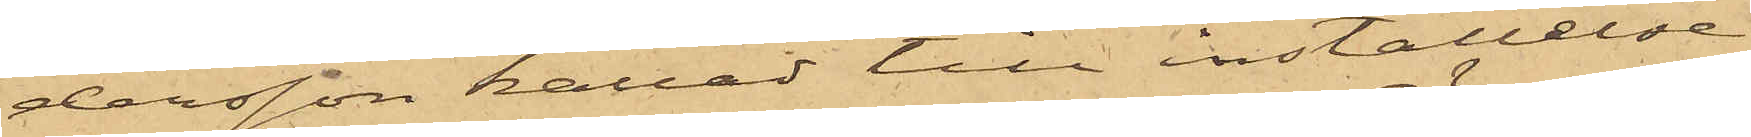dersson kallad till inställelse
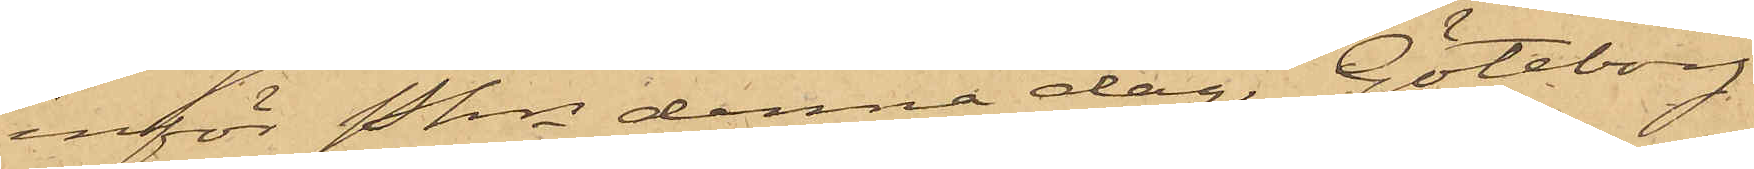inför Pkn denna dag. Göteborg
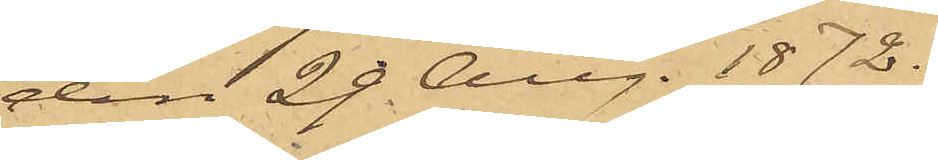den 29 Aug. 1872.
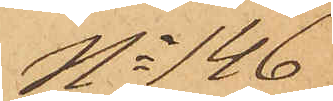No 146
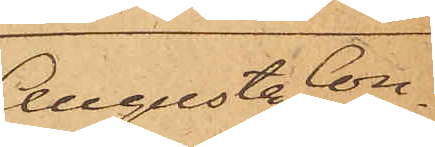Augusta Con¬
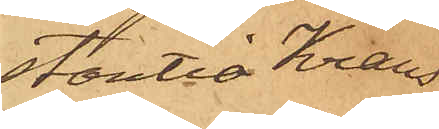stantia Krans
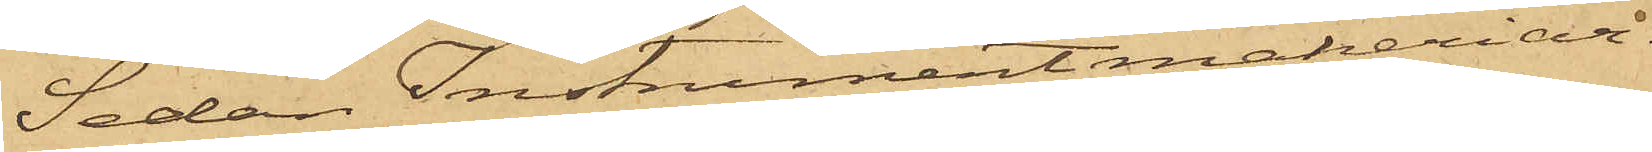Sedan Instrumentmakeriar¬
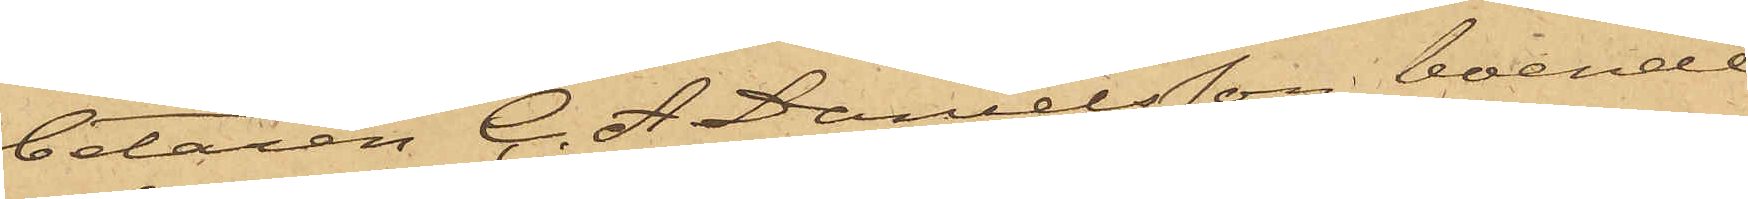betaren C. A. Danielsson, boende
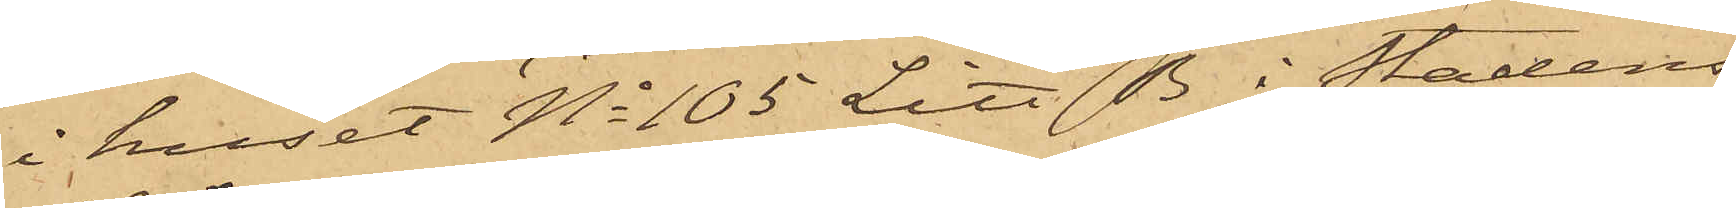i huset No 105 Litt B i Stadens
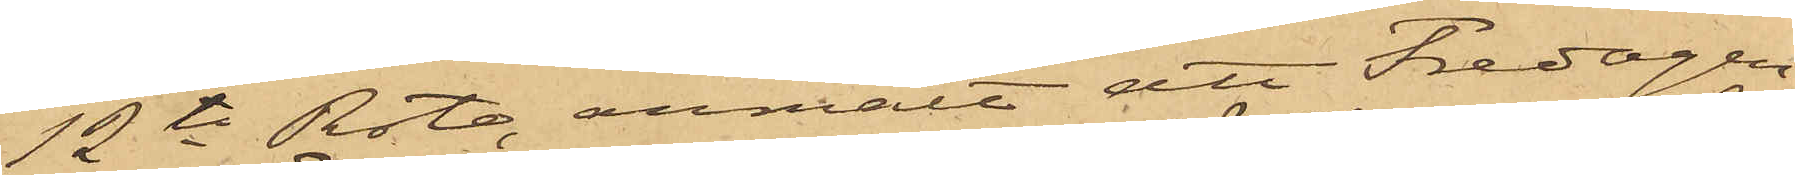12te Rote, anmält att Fredagen
